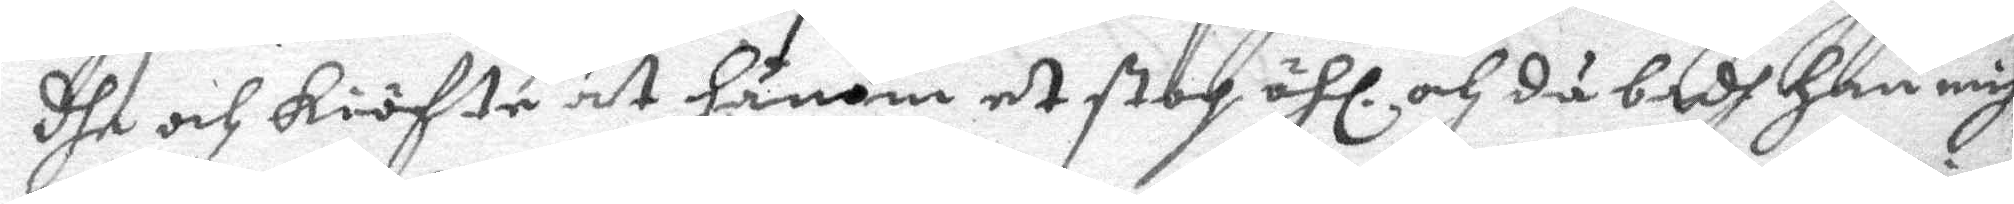dhe och kiöfte åt hånom et stop öhl, och då badh han mig
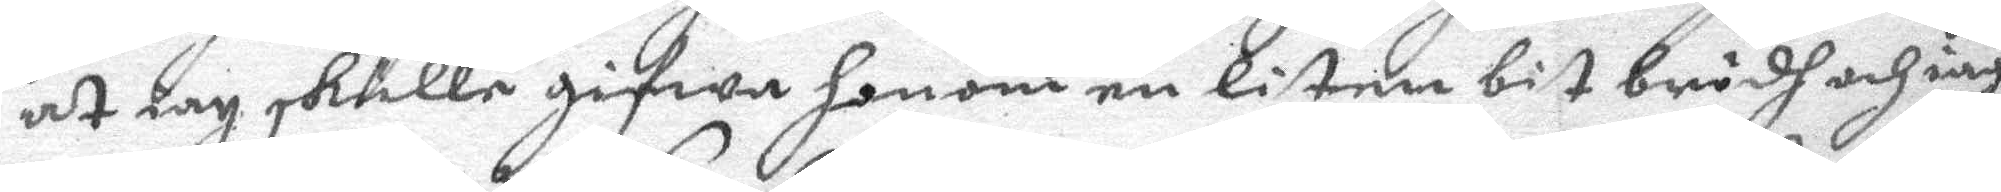at iag skulle gifwa honom en liten bit brödh och iag
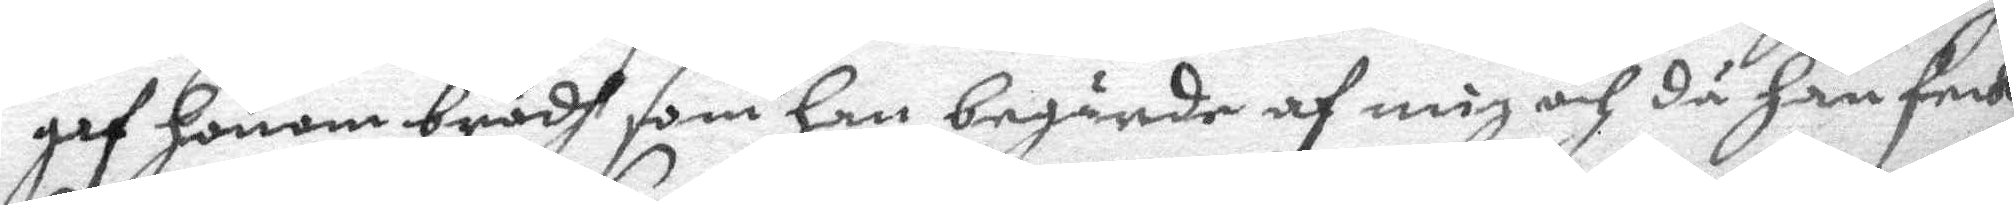haf honom brödh som han begärde af mig och då han feck
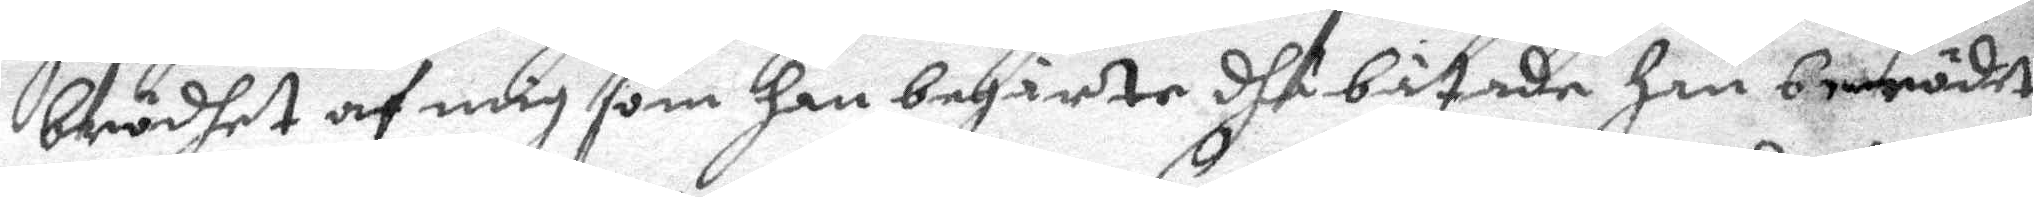brödhet af mig som han begärte dhå båtade han brödet
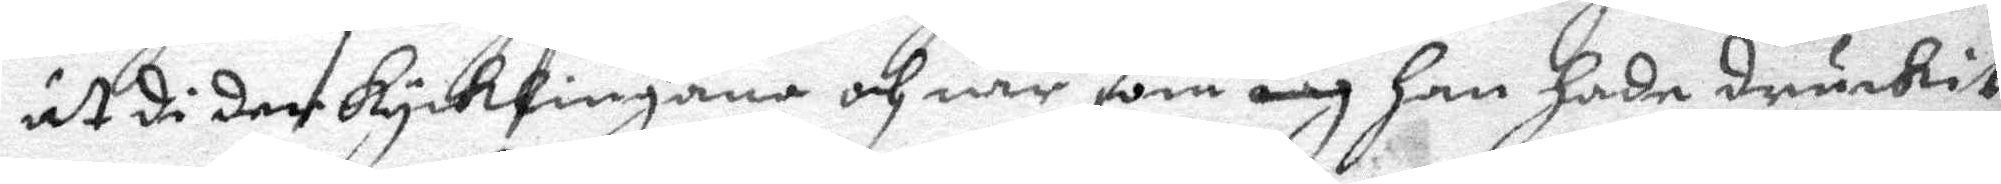ut di der kycklingana och när som iag han hade druckit
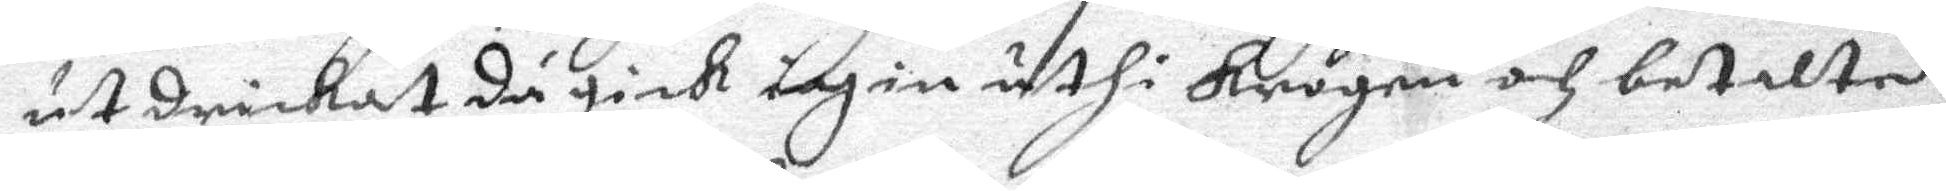ut drickat då gick iag in uthi krogen och betalte
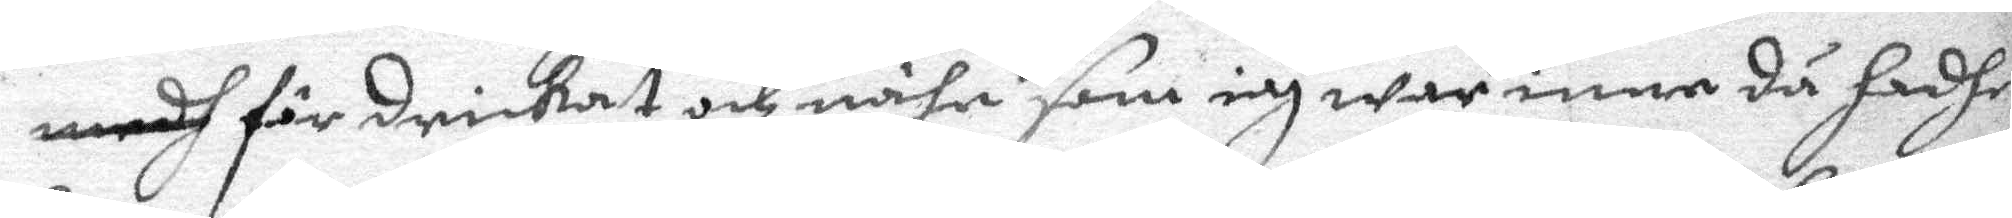medh för drickat och nähr som iag war inne då hadhe
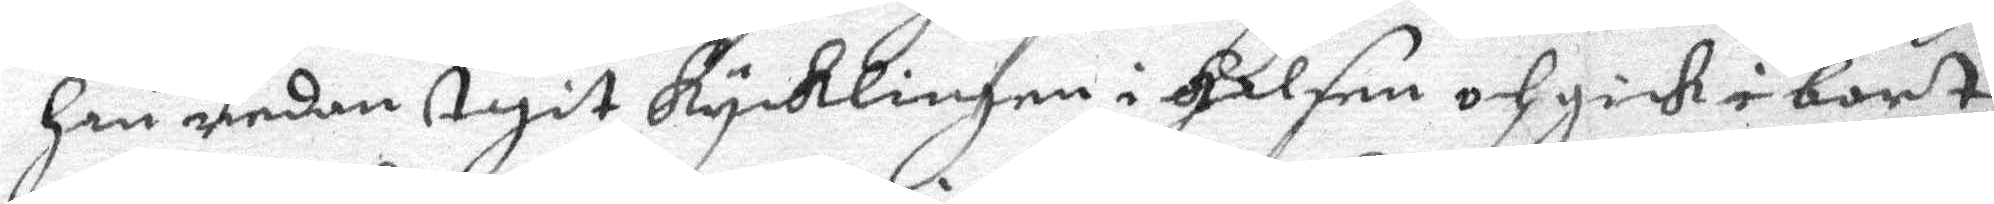han neder tagit kycklingen i halsen och gick i bort.
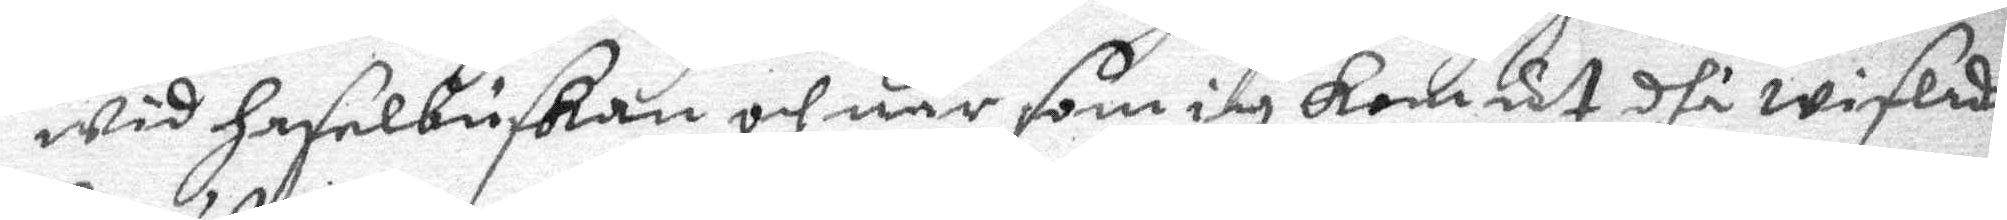wid haselbuskan och när som iag kom ut dhå wislade
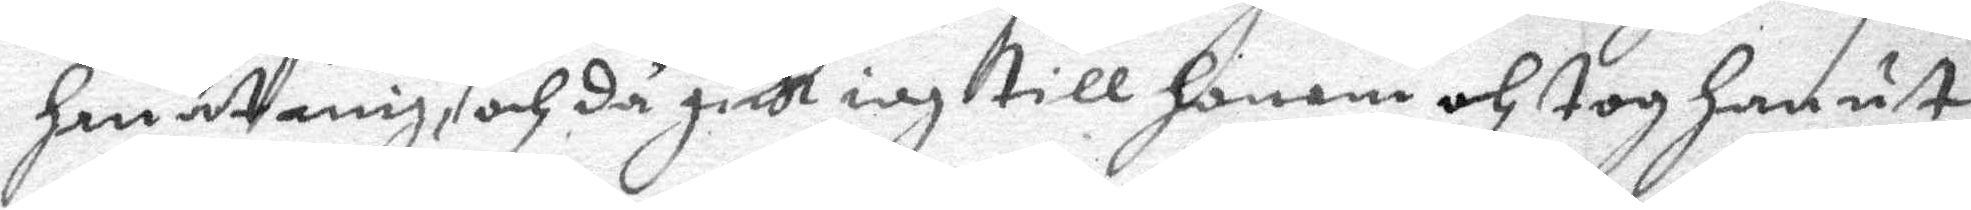han åt mig och då gick iag till honom och tog han ut
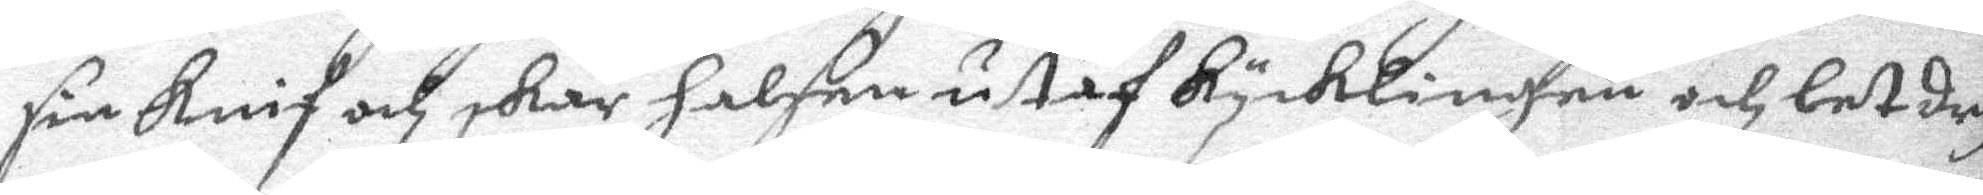sin knif och skar halsen utaf lycklingen och let dry¬
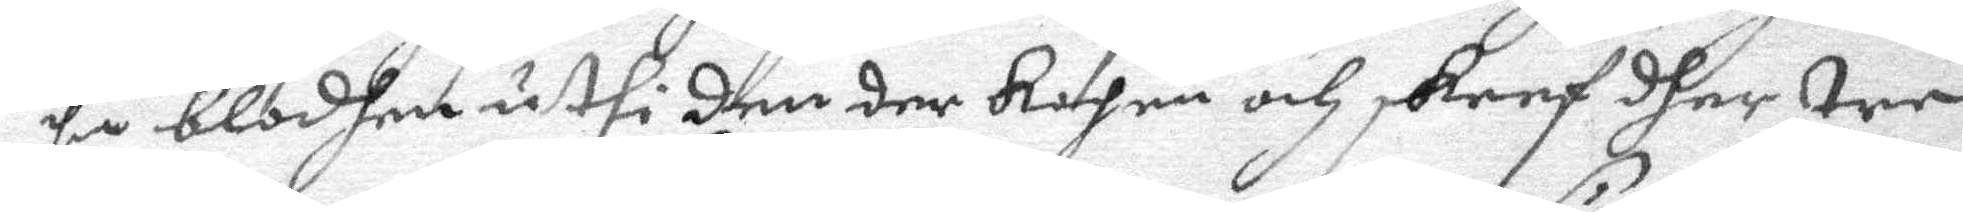pa blodhen uthi den der kopen och skreef dher tre
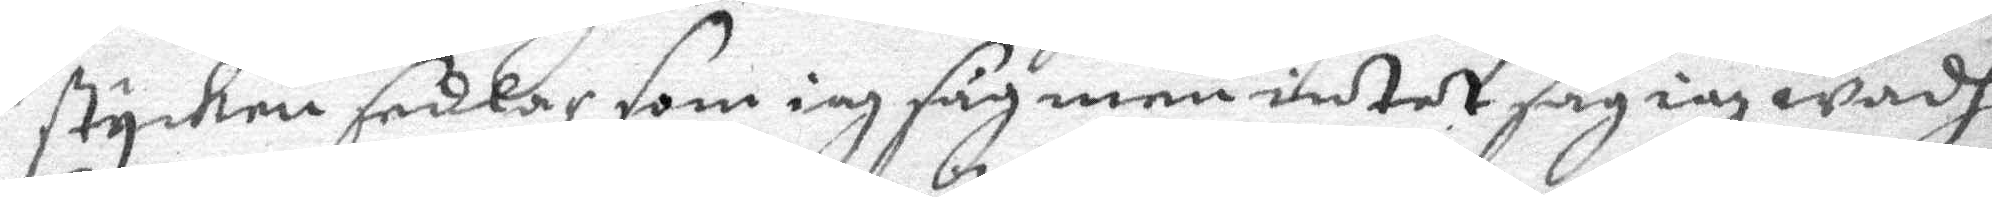stycken sedlar som iag men intet såg iag wadh
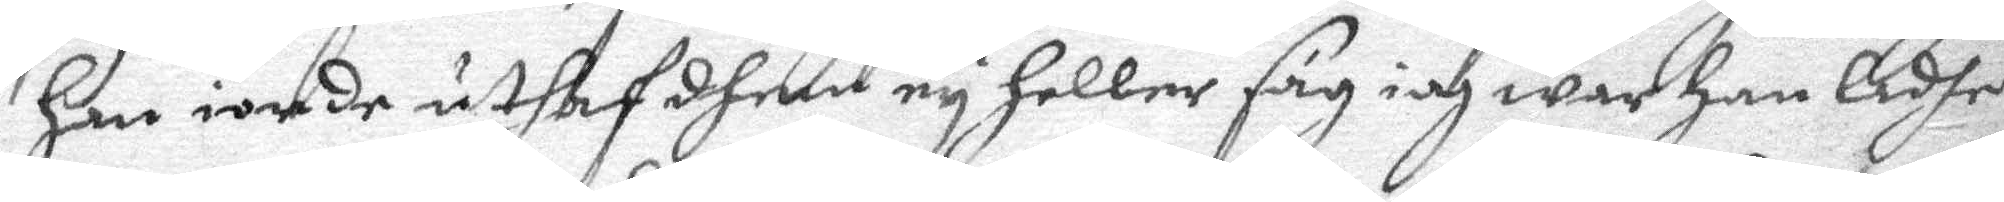han iorde uthaf dhem ey heller såg iag war han ladhe
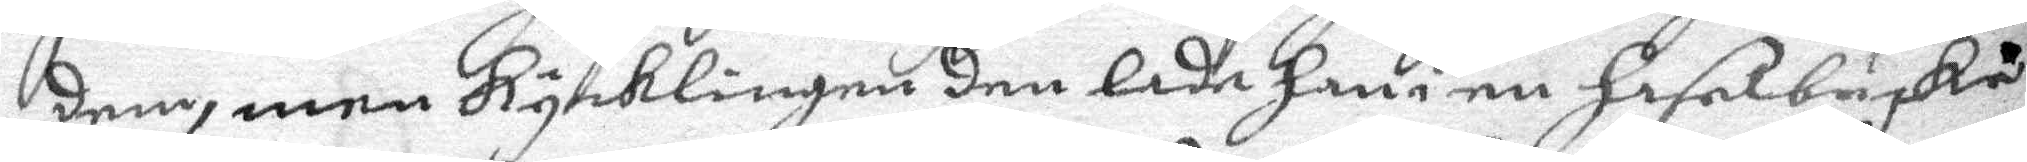dem, men kycklingen den lade han i en haselbuske
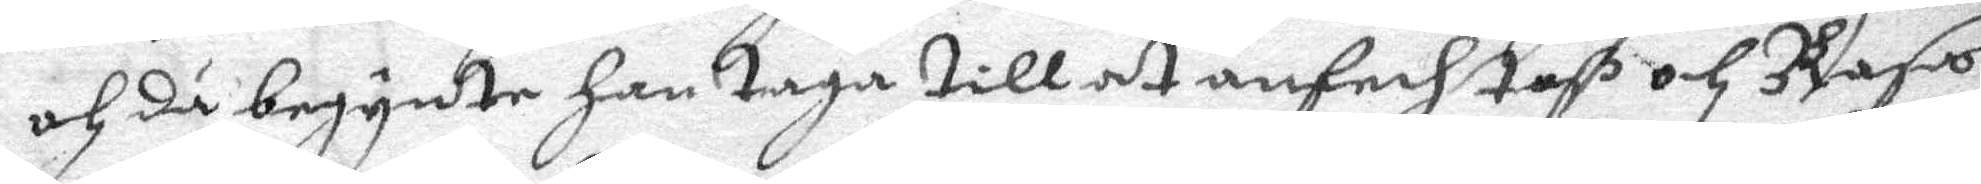och då begynte han taga till at anfechtaß och Rasa
